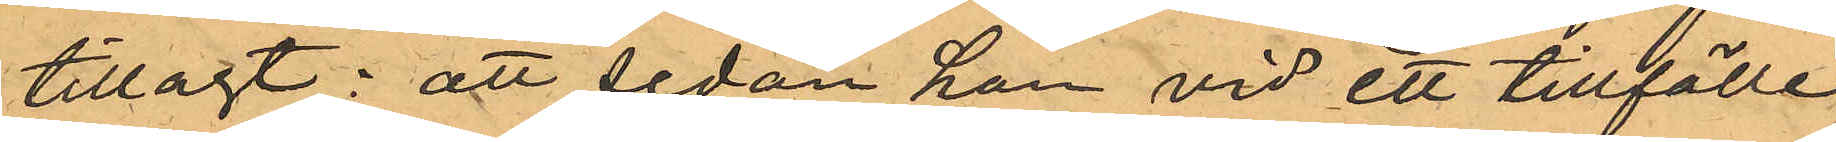tillagt: att sedan han vid ett tillfälle
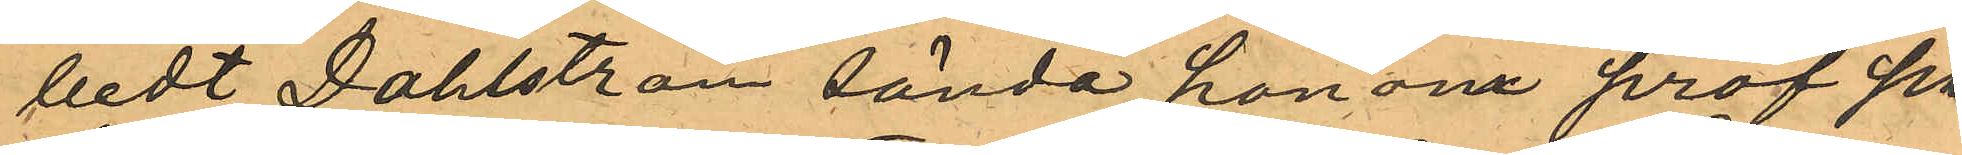bedt Dahlström sända honom prof på
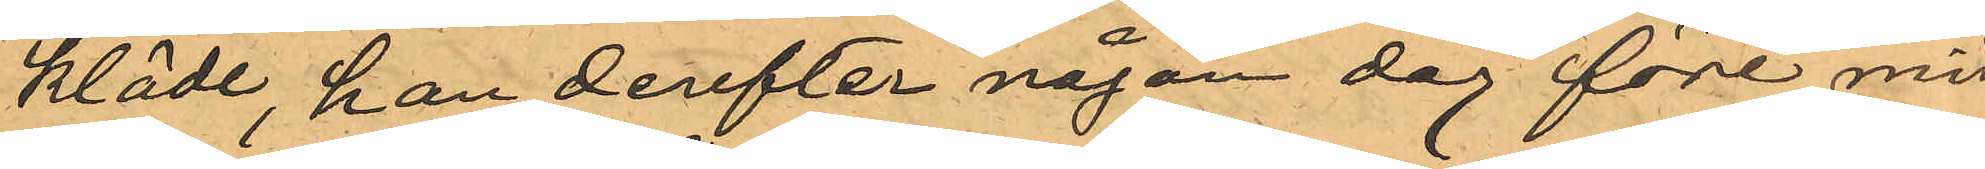kläde, han derefter någon dag före mid¬
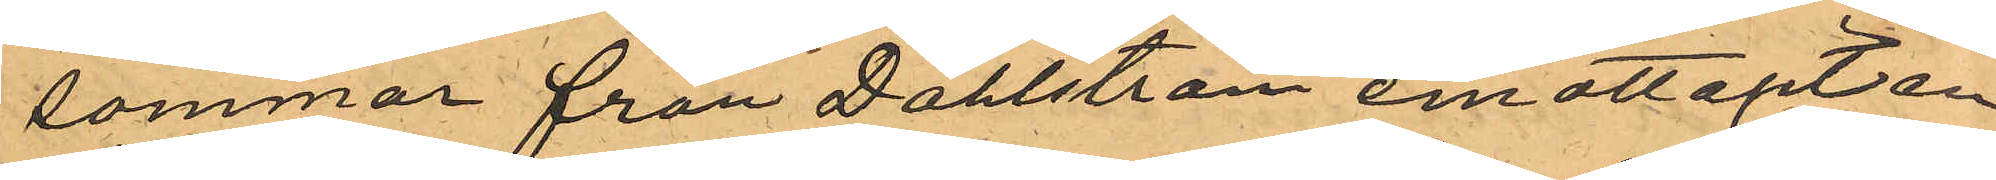sommar från Dahlström emottagit en
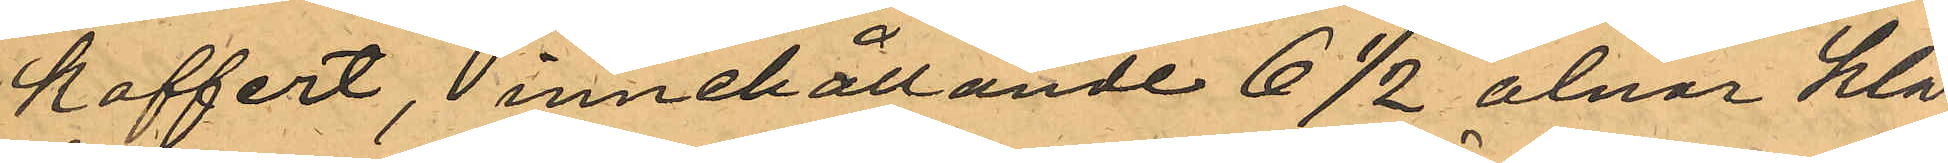koffert, innehållande 6 172 alnar klä¬
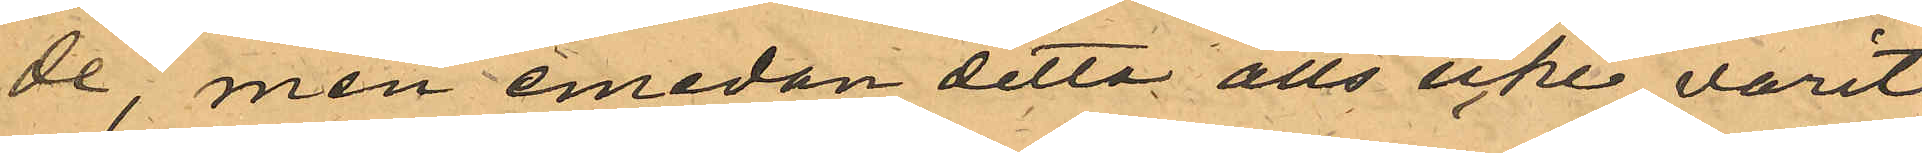de, men emedan detta alls icke varit
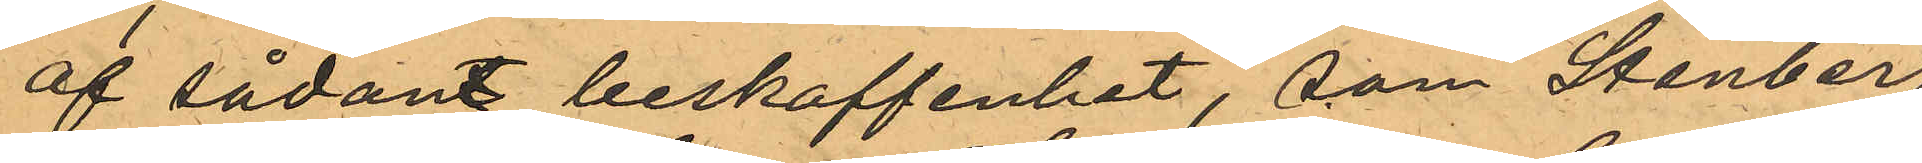af sådant beskaffenhet, som Stenberg
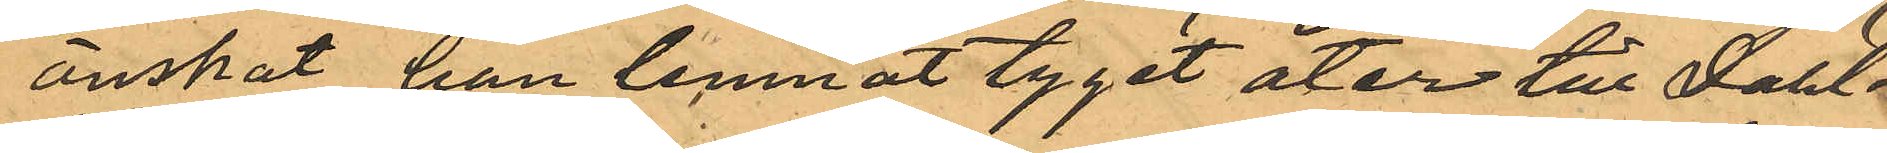önskat han lemnat tyget åter till Dahl¬
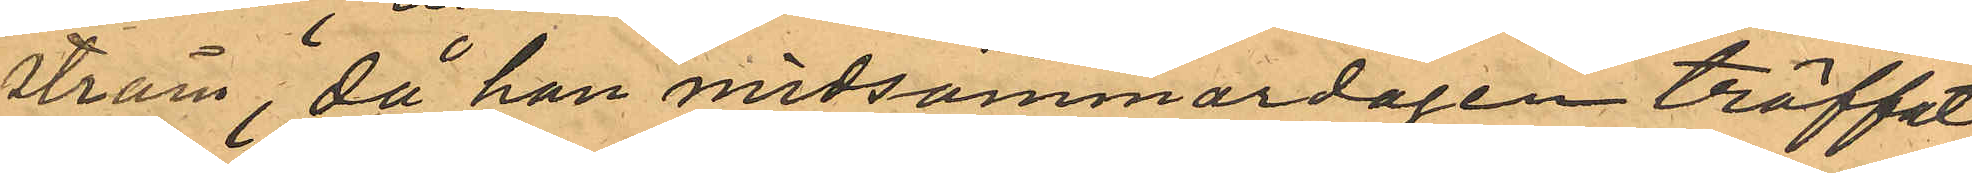ström, då han midsommardagen träffat
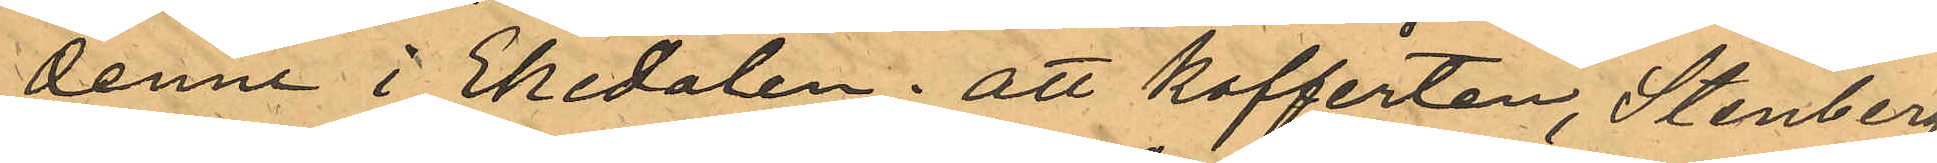denne i Ekedalen; att kofferten, Stenberg
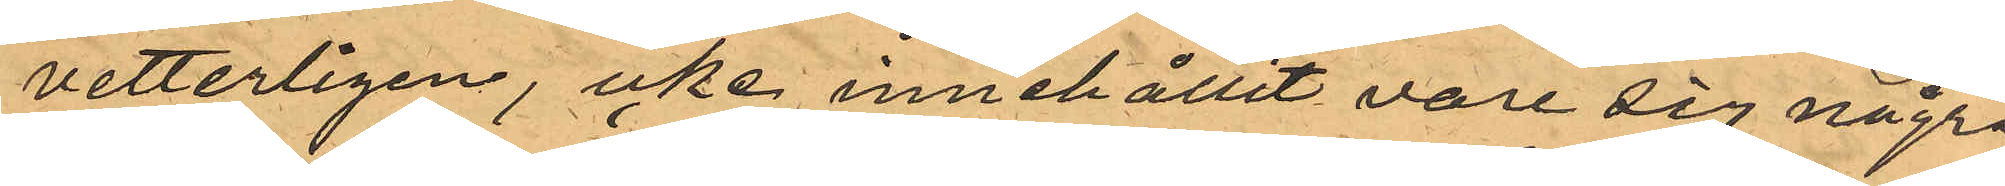vetterligen, icke innehållit vare sig några
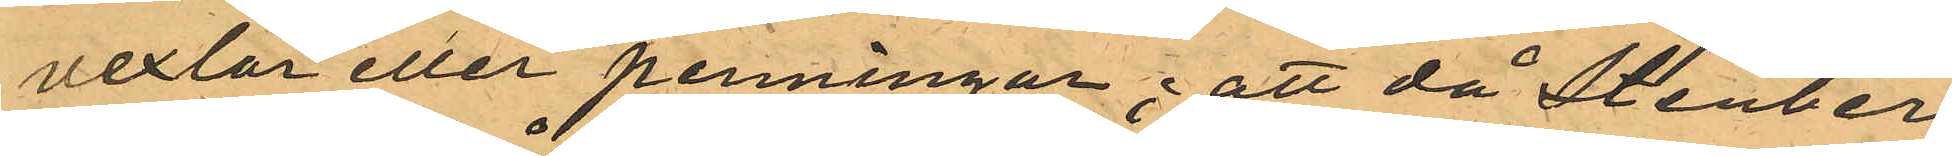vexlar eller penningar; att då Stenberg
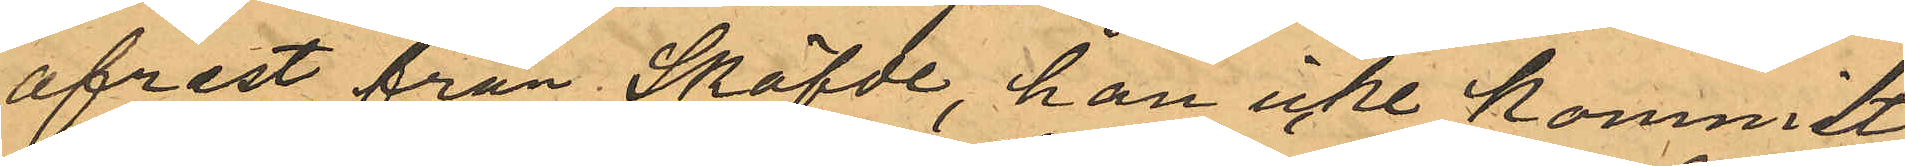afrest från Skafde han icke kommit
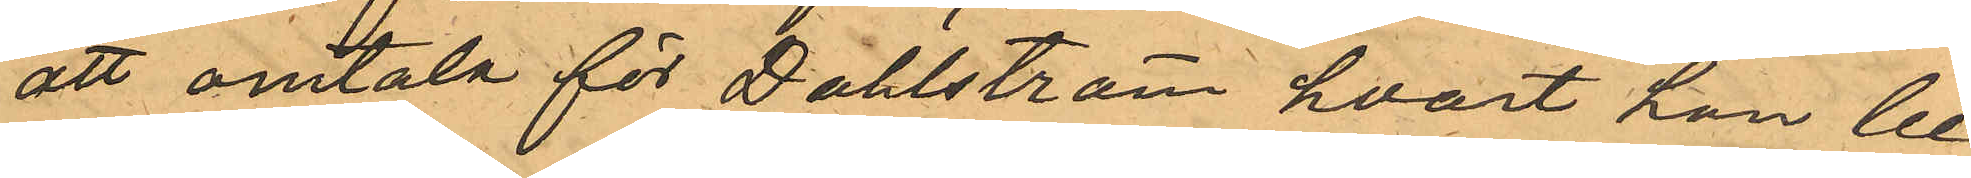att omtala för Dahlström hvart han be¬
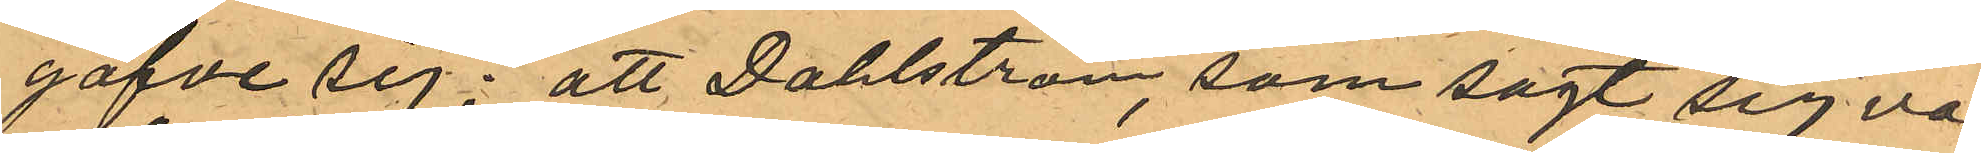gåfve sig; att Dahlström, som sagt sig va¬
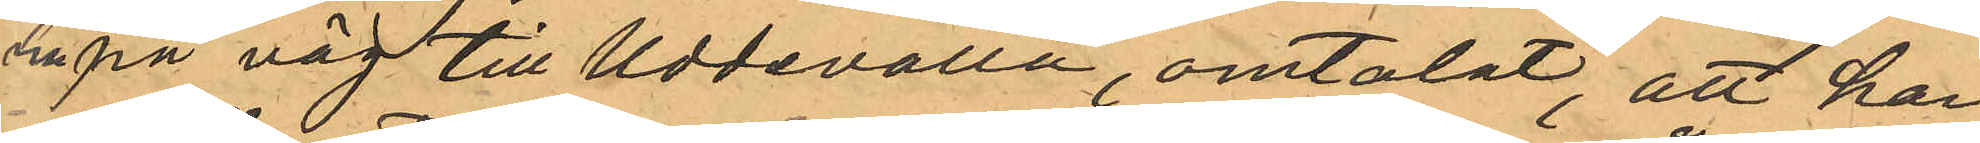ra på väg till Uddevalla, omtalat, att han
